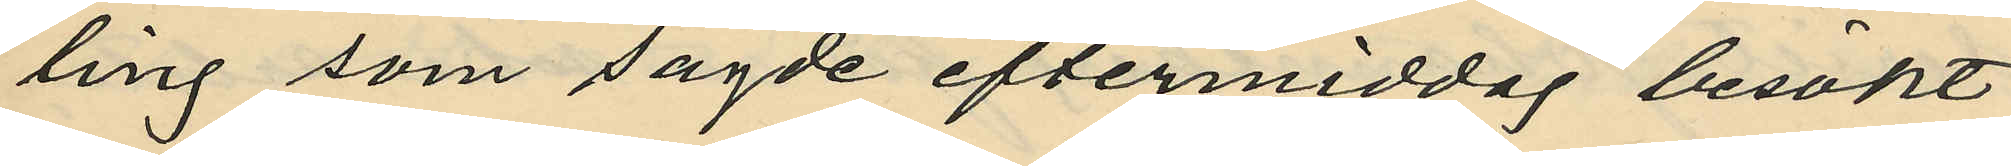ling som sagde eftermiddag besökt
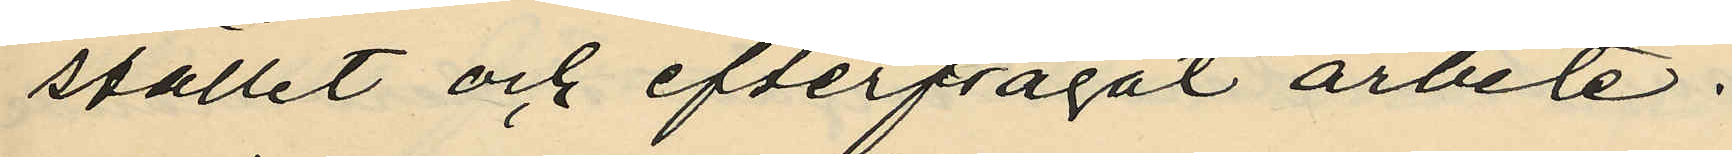stället och efterfrågat arbete.
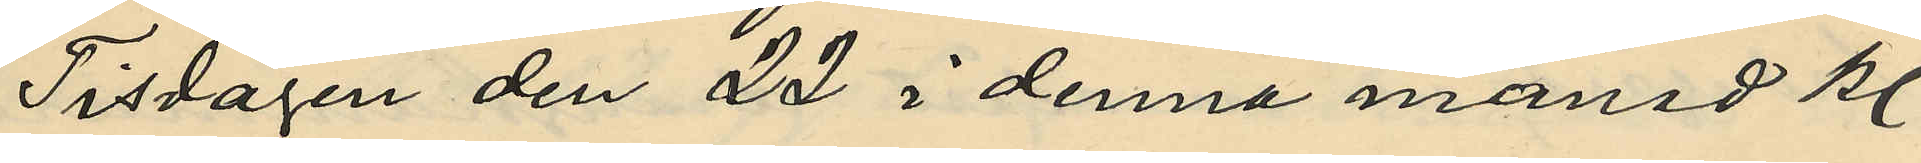Tisdagen den 22 i denna månad kl.
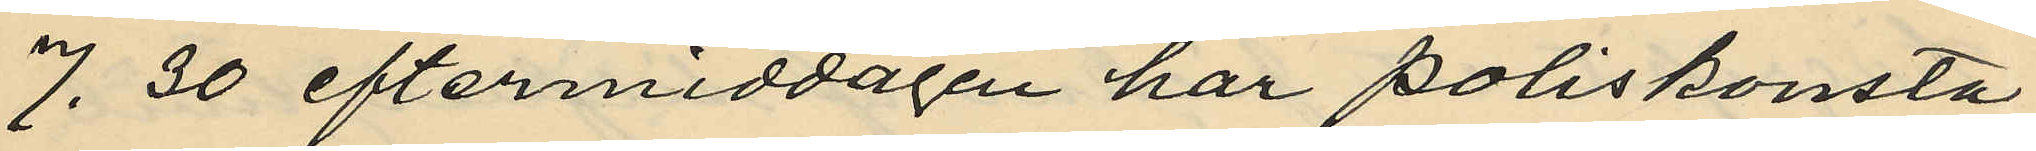7. 30 eftermiddagen har poliskonsta¬
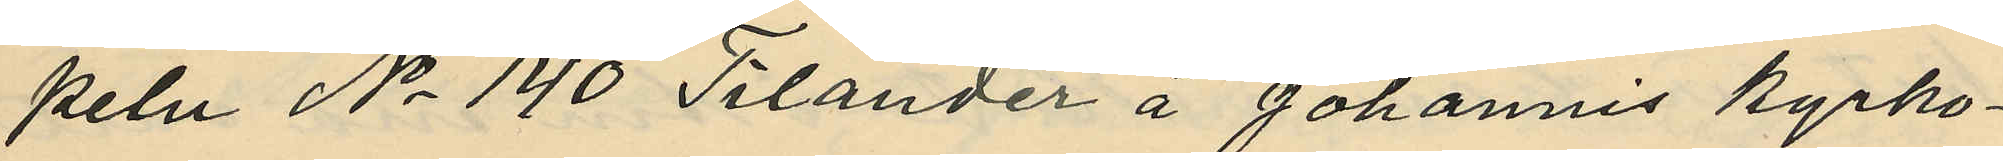peln No 140 Tilander å Johannes Kyrko¬
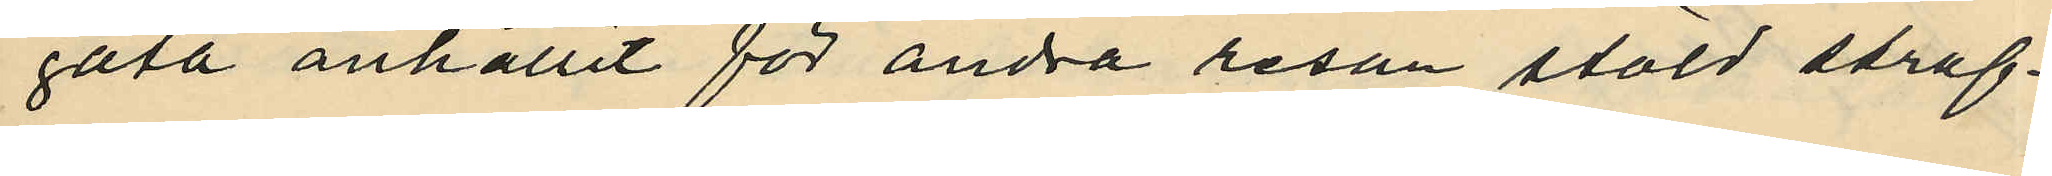gata anhållit för andra resan stöld straf¬
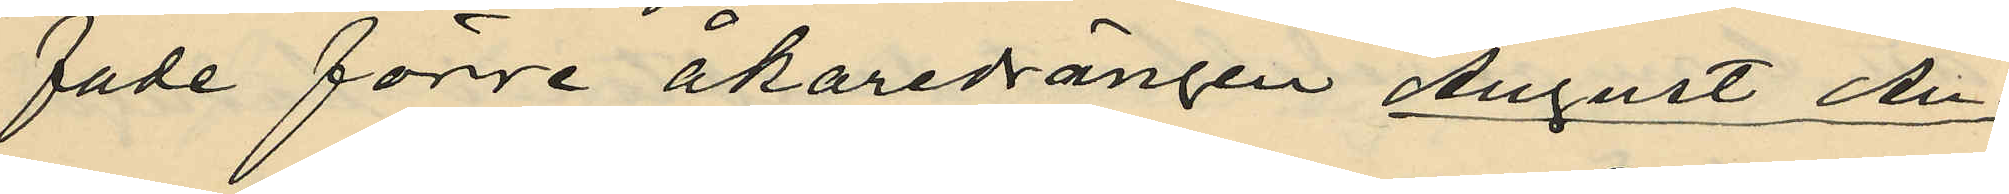fade förre åkaredrängen August An¬
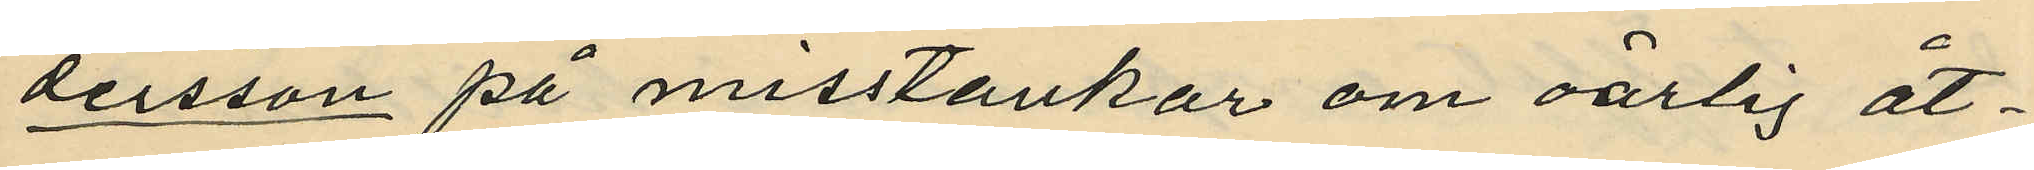dersson på misstankar om oärlig åt¬
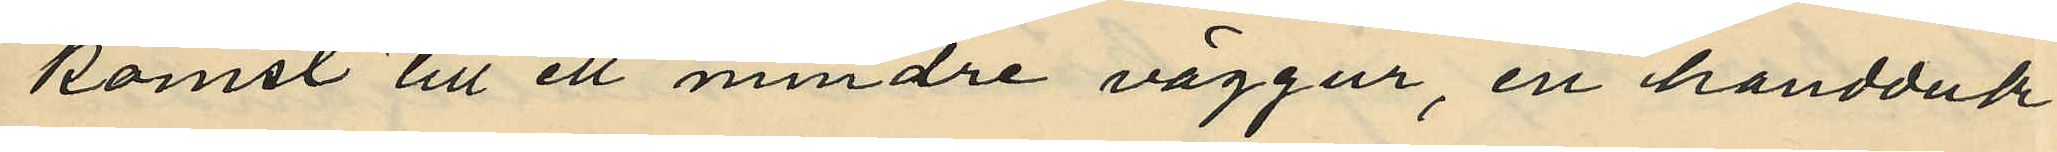komst till ett mindre väggur, en handduk
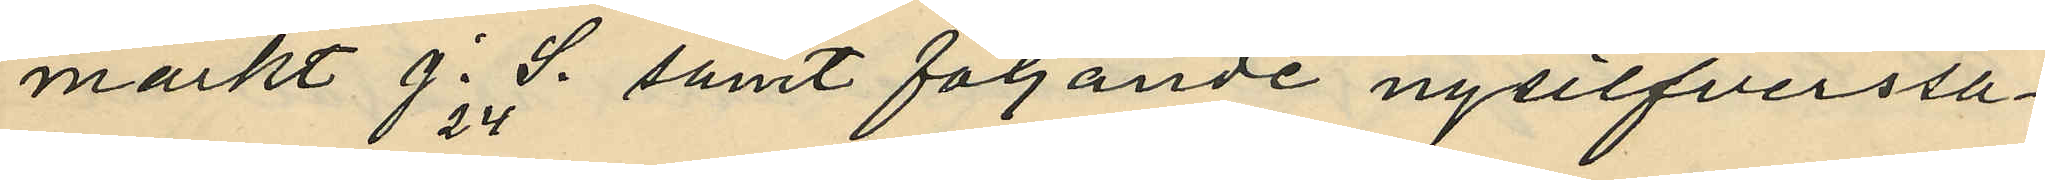märkt J.24 S.  samt följande nysilfverssa¬
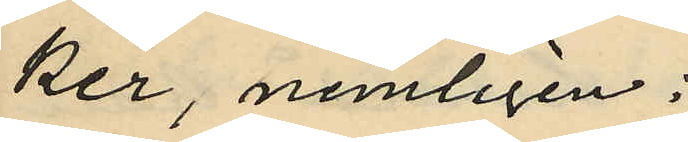ker, nemligen:
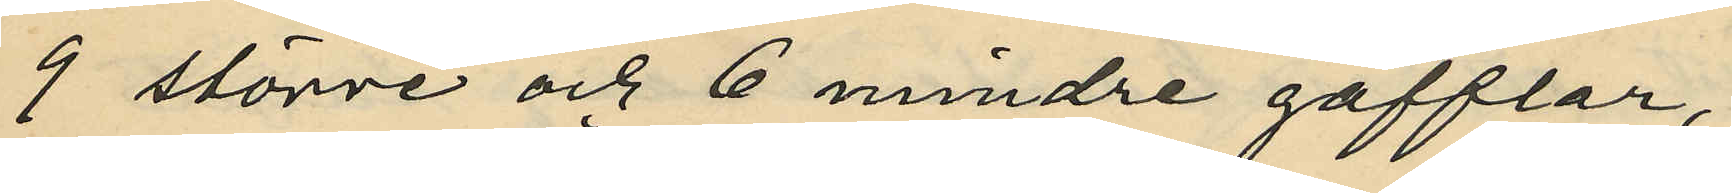9 större och 6 mindre gafflar,
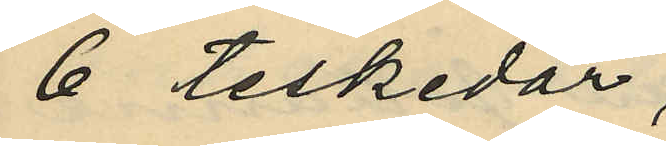6 teskedar,
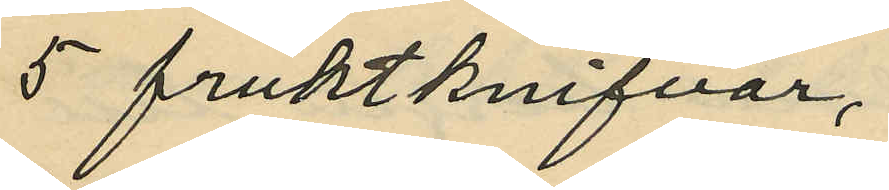5 fruktknifvar,
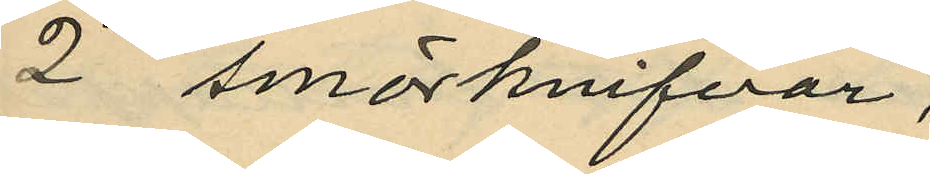2 smörknifvar,
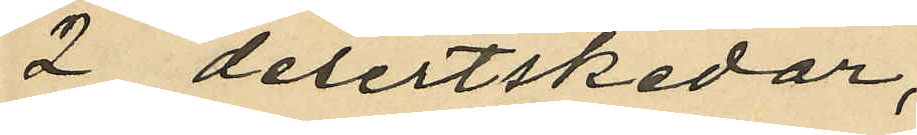2 desertskidor,
